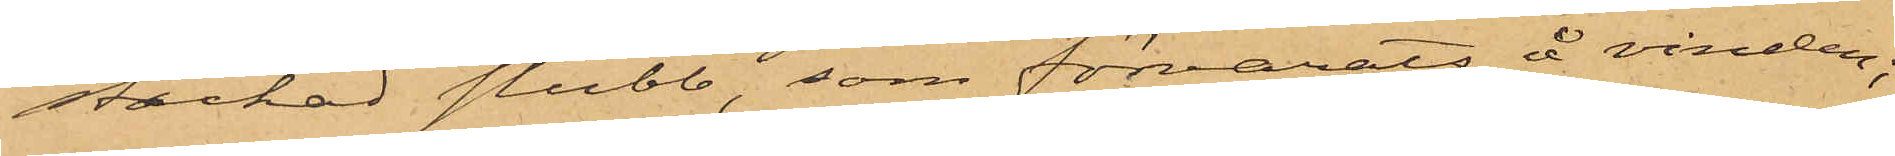stickad stubb, som förvarats å vinden;
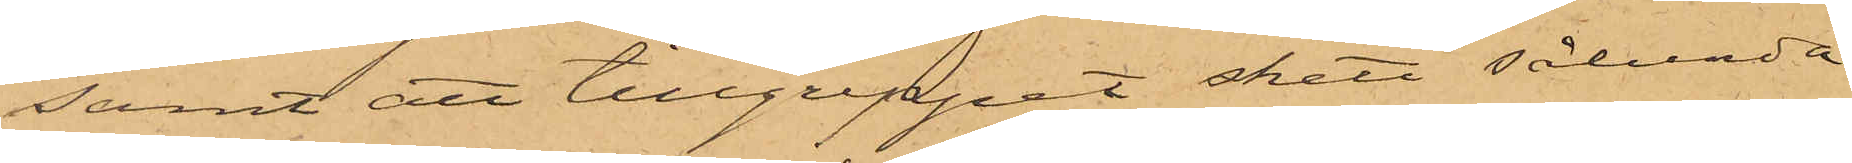samt att tillgreppet skett sålunda
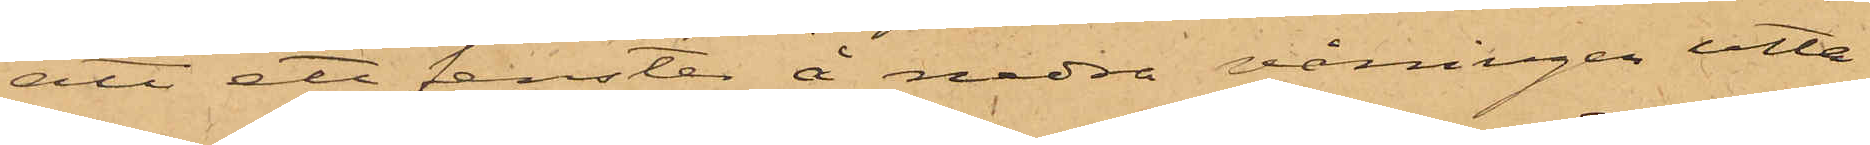att ett fenster å nedra våningen utta¬
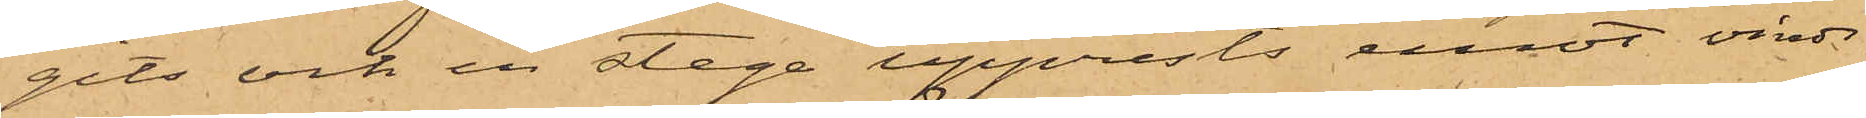gits och en stege upprests emot vinds¬
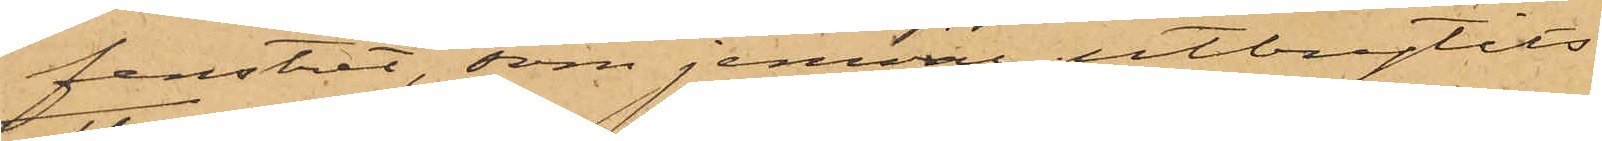fenstret, som jemväl utbrytits.
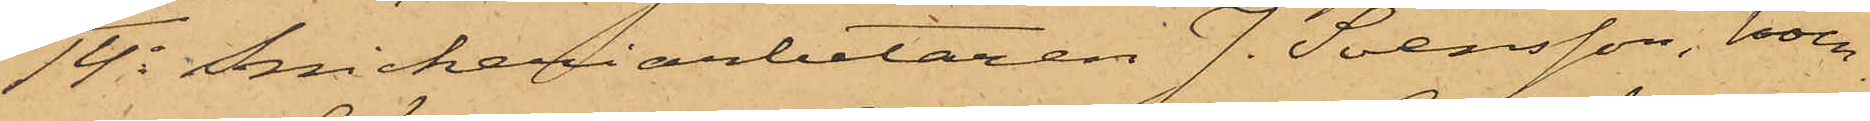14o Snickeriarbetaren J. Svensson, boen¬
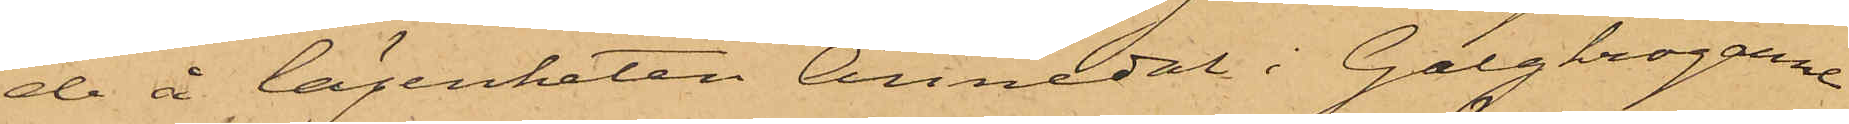de å lägenheten Annedal i Galgkrogarne
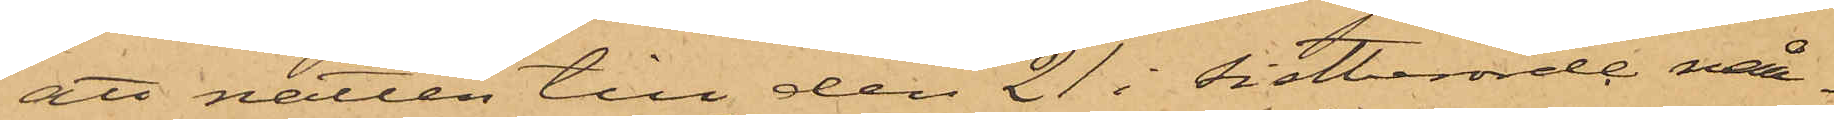att natten till den 21 i sistberörde må¬
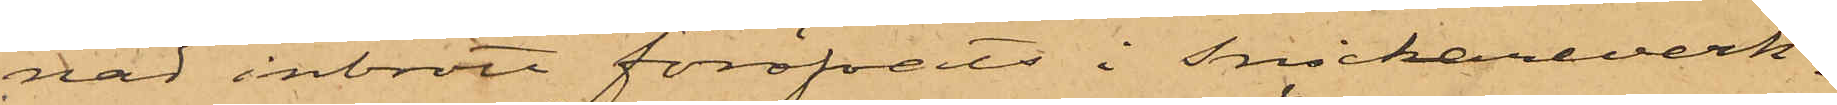nad inbrott föröfvats i Snickareverk¬
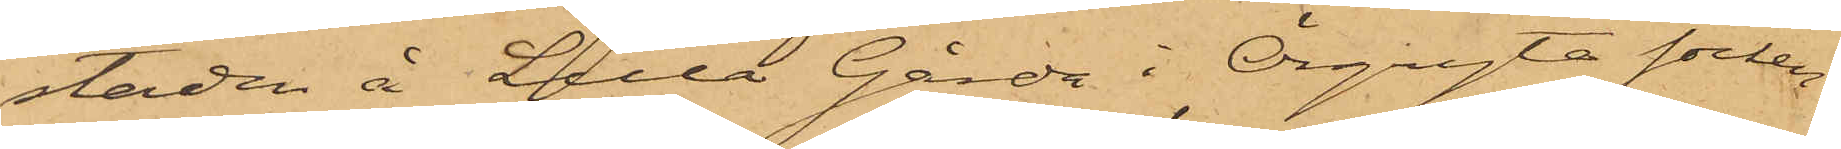staden å Lilla Gårda i Örgryte socken,
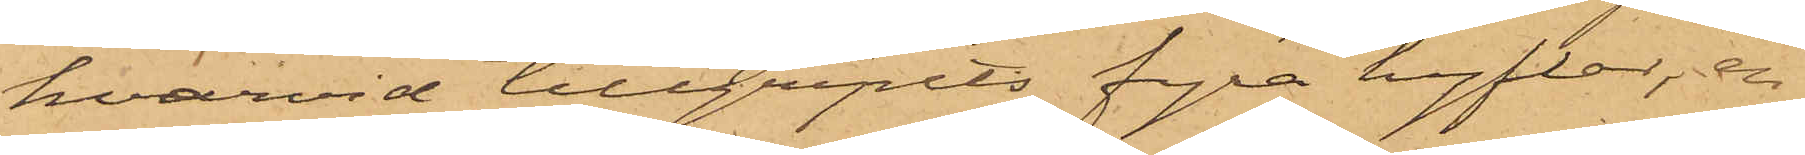hvarvid tillgripits fyra hyflar, en
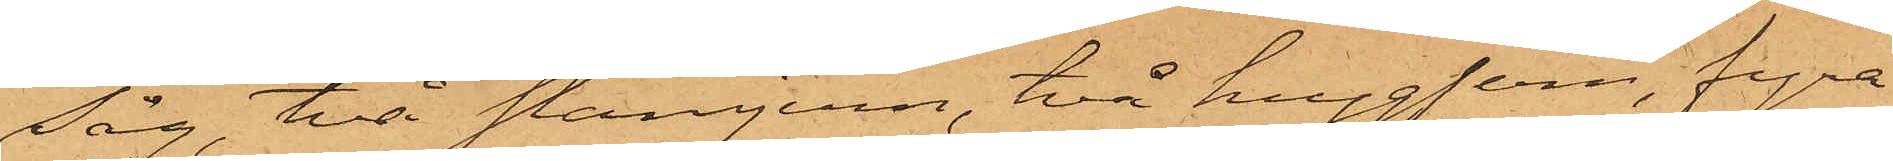Såg, två stämjern, två huggjern, fyra
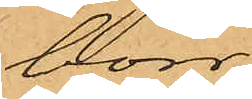borr,
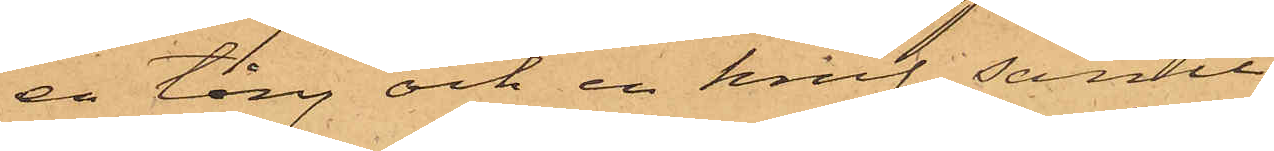en tång och en knif, samt
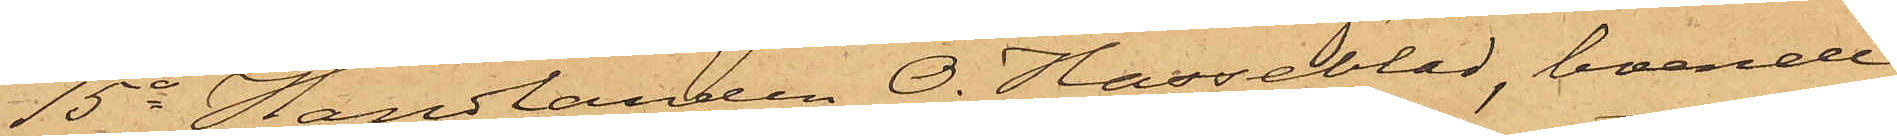15o Handlanden O. Hasseblad, boende
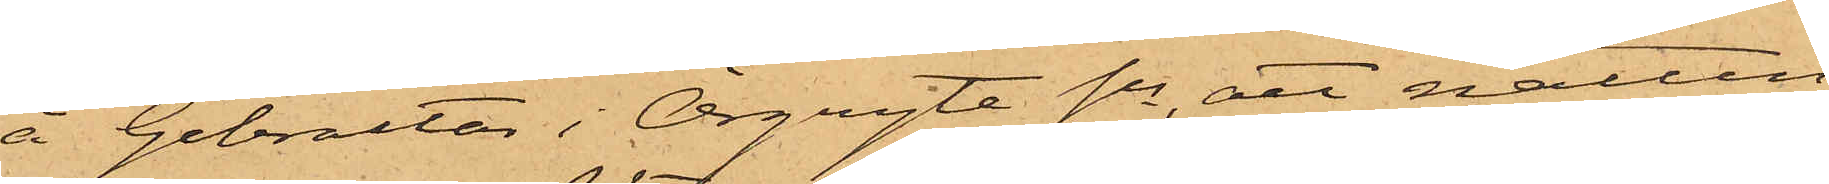å Gibraltar i Örgryte Sn, att natten
